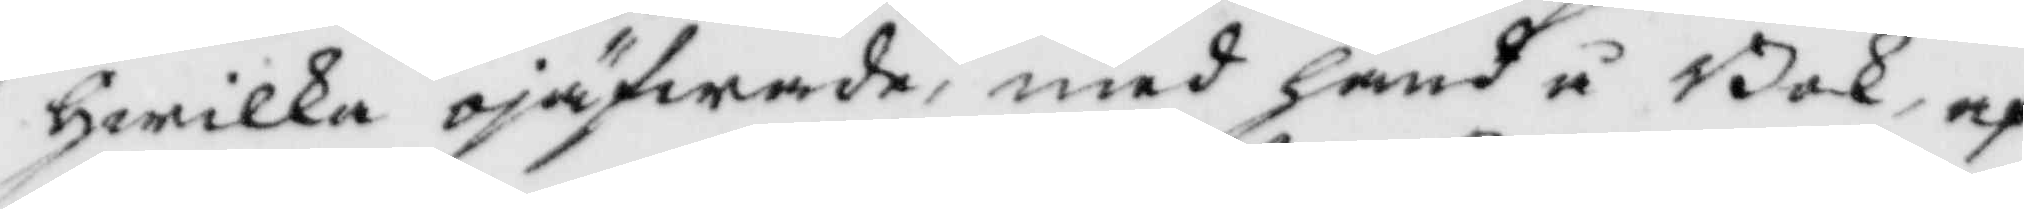hwilka ojäfwade, men hand å Bok, af¬
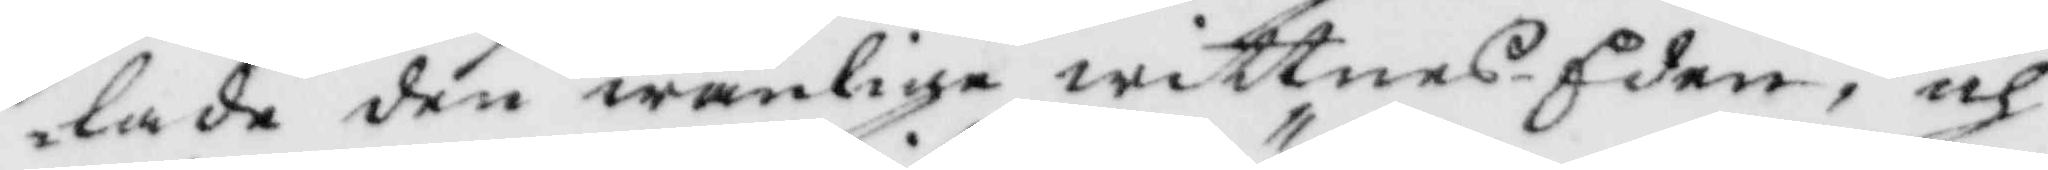lade den wanlige wittnes Eden, och
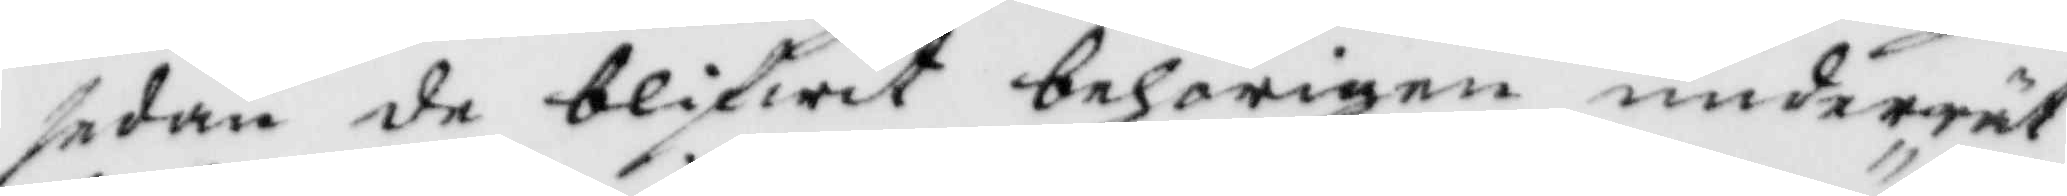sedan de blifwit nehörigen underrät¬
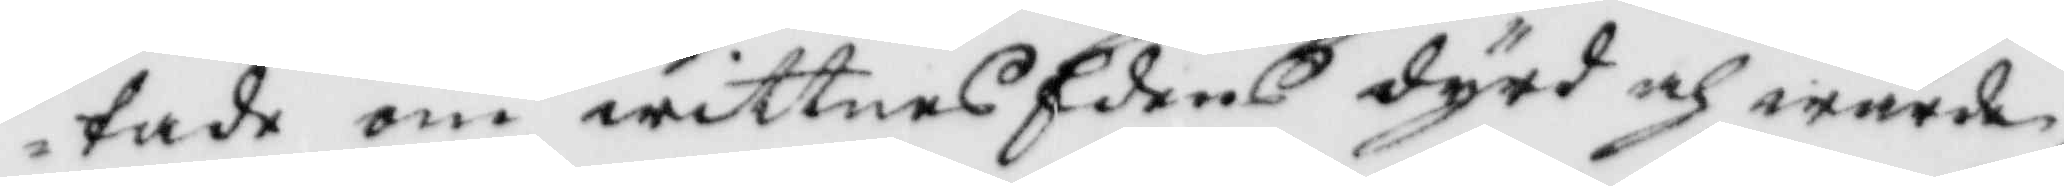tade om wittnesEdens dygd och wärde,
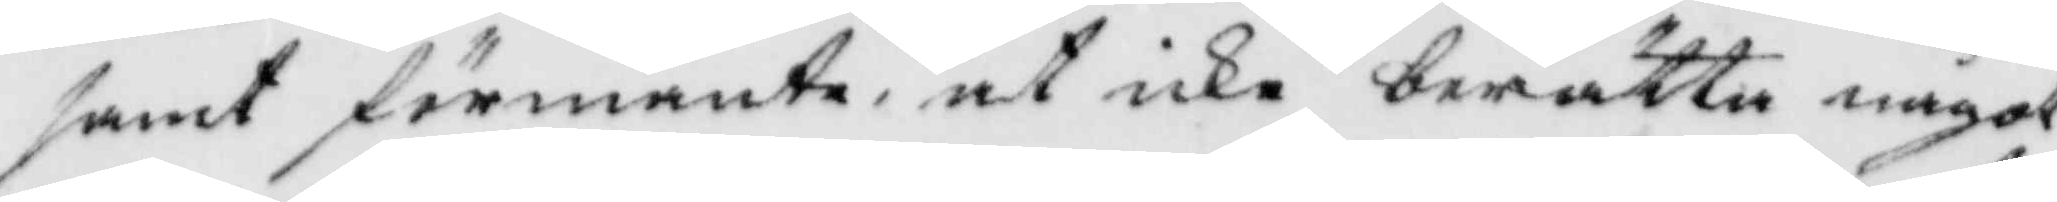samt förmante at icke berätta något
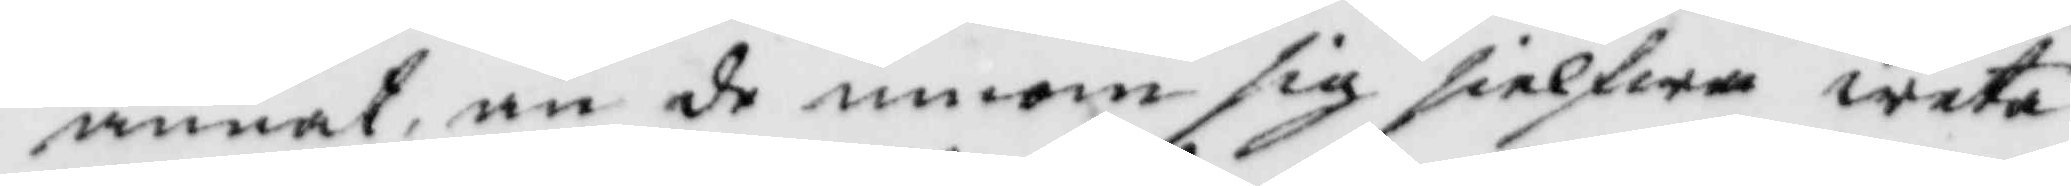annat än de inom sig sielfwa weta
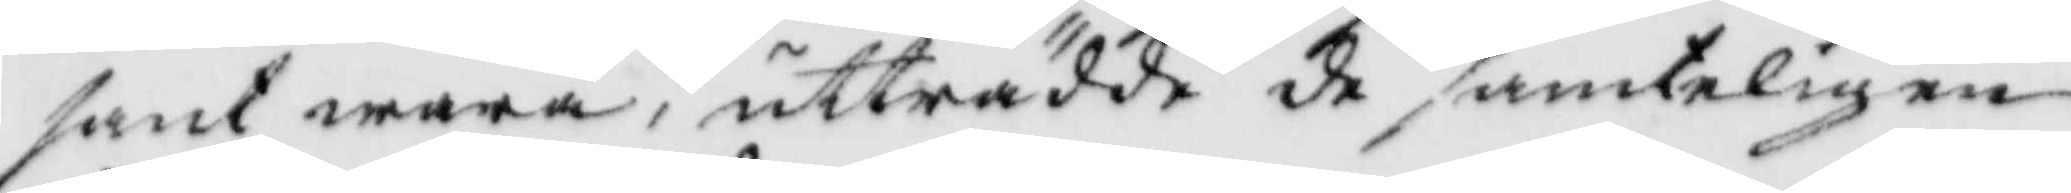sant wara, utträdde de samteligen
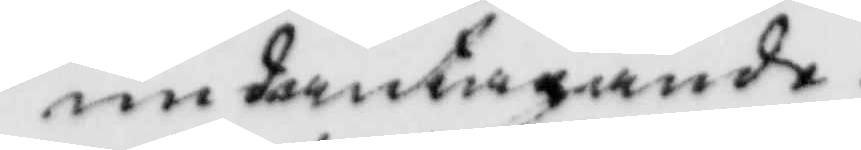undantagande.
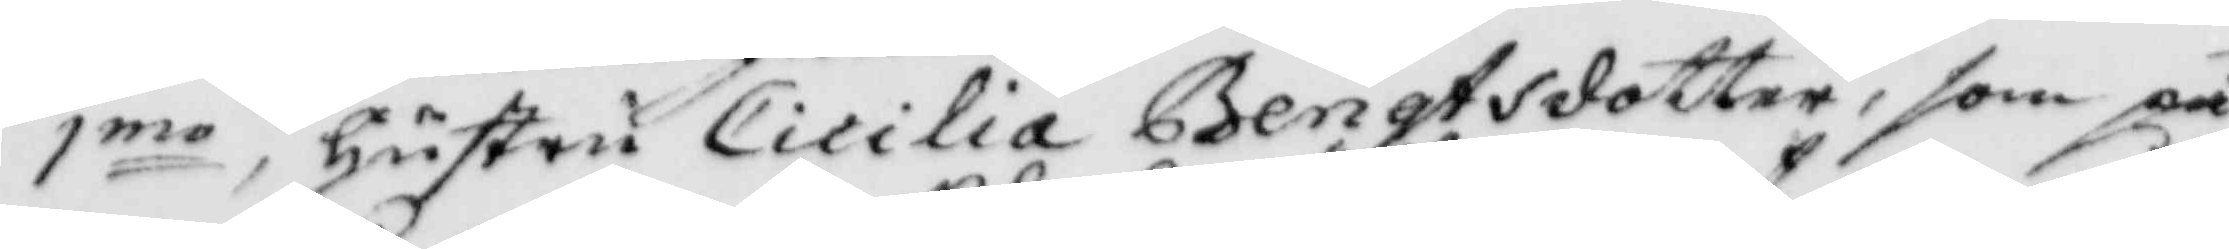1mo hustru Cicilia Bengtsdotter, som på
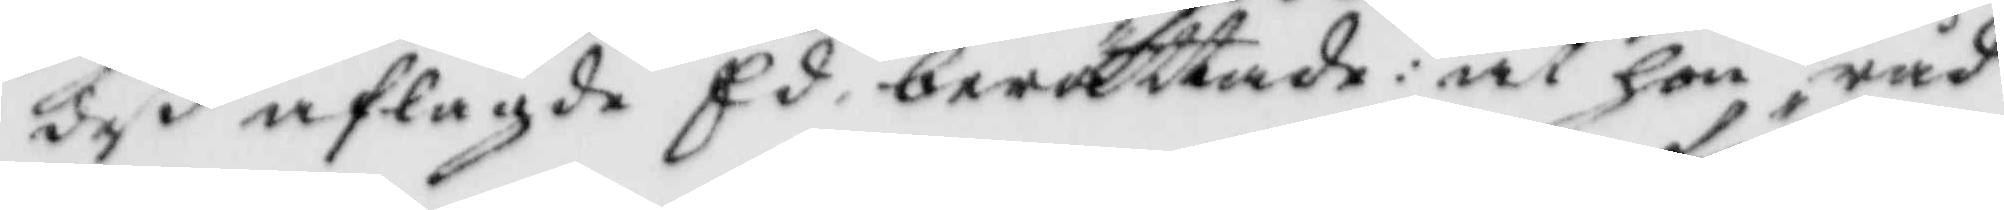deß aglagde Ed, berättade: at hon råd¬
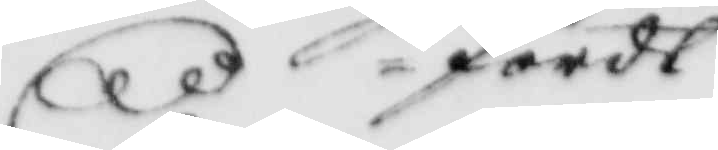fördt
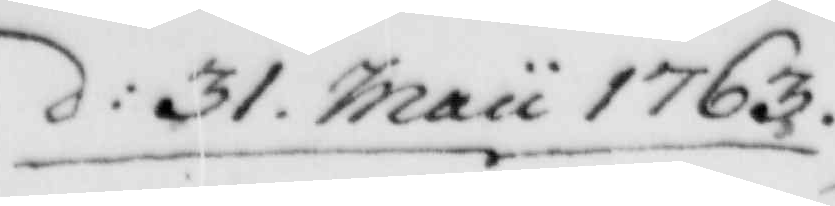d: 31. Maii 1763.
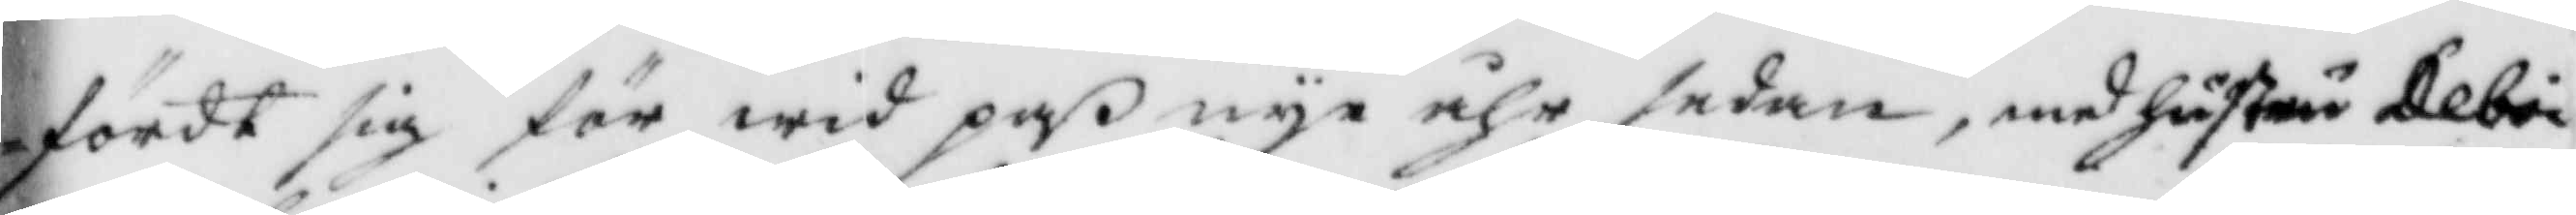fördt sig för wid paß nye åhr sedan, med hsutru Deboi
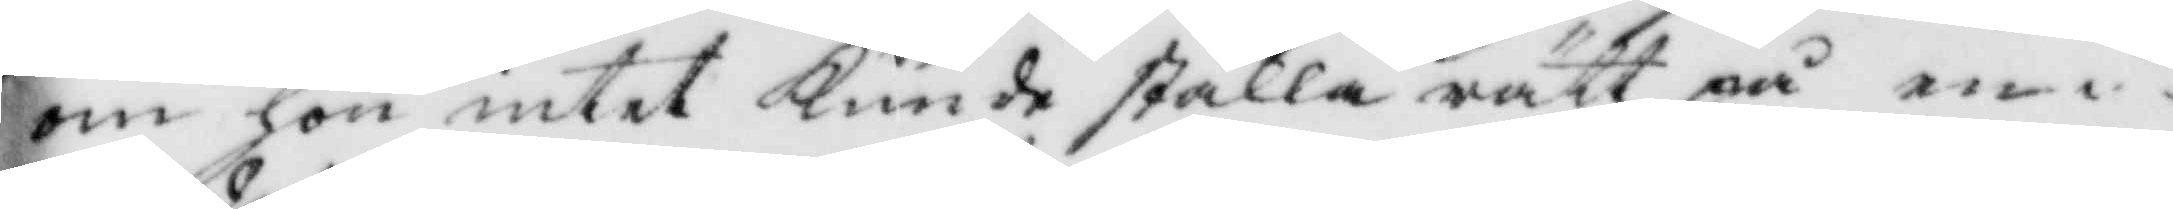om hon intet Kunde ställa rätt på en
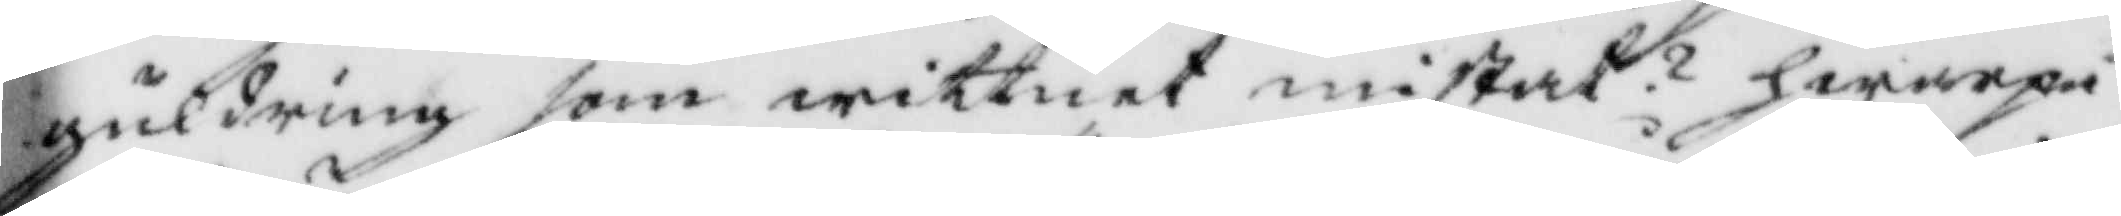guldring som wittnet mistat? hwarpå
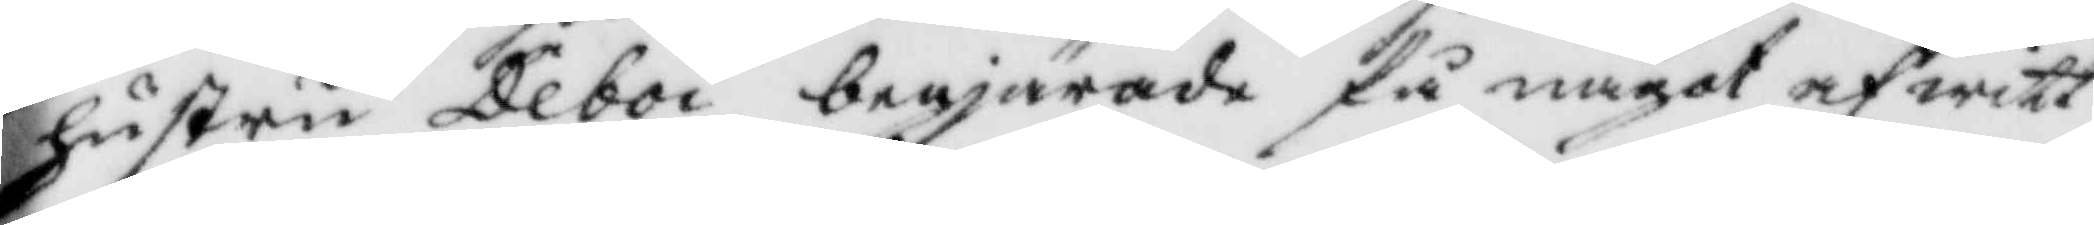hustru Deboi begjärade få något af witt¬
